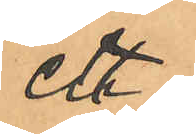ett
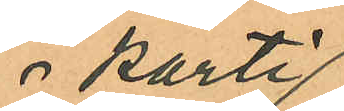 parti
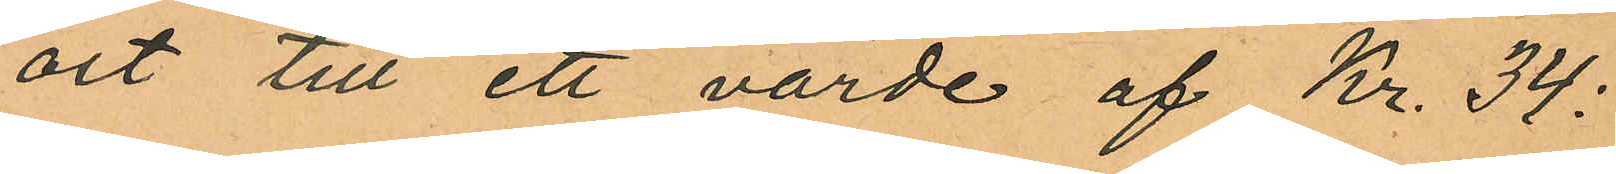ost till ett värde af Kr. 34:
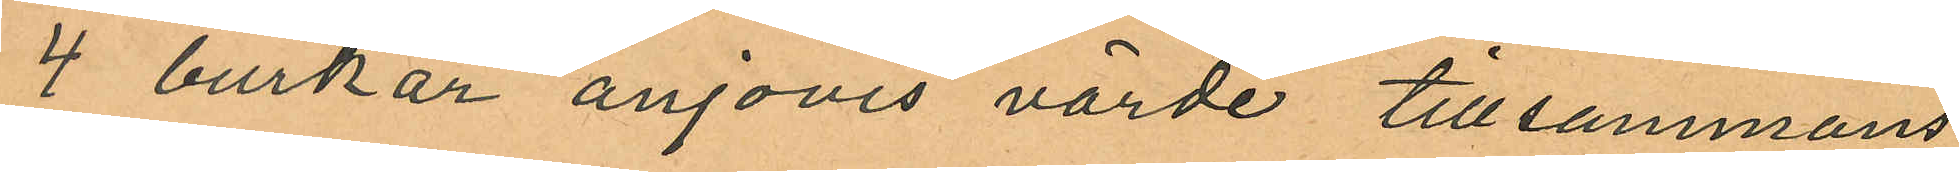4 burkar anjovis värde tillsammans
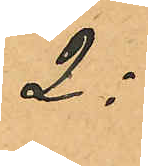2:
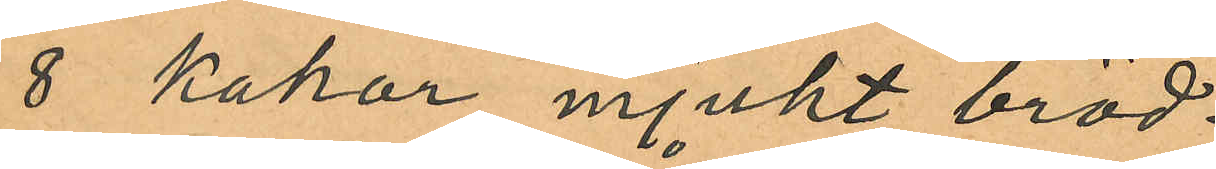8 kakor mjukt bröd
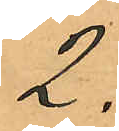2:
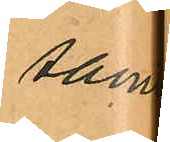samt
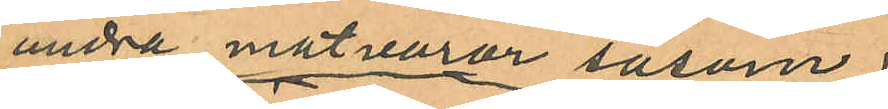andra matvaror såsom
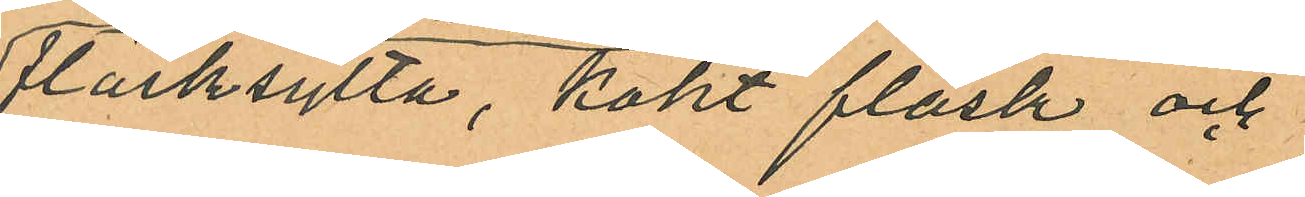fläsksylta, kokt fläsk och
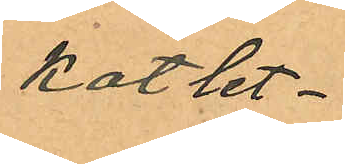kotlet¬
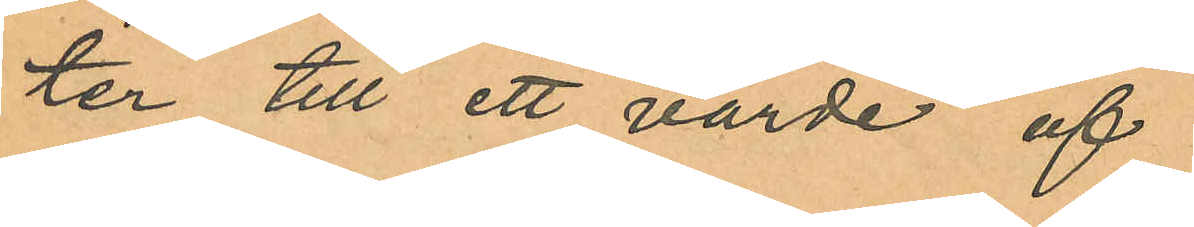ter till ett värde af
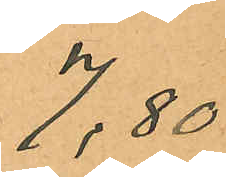7,80
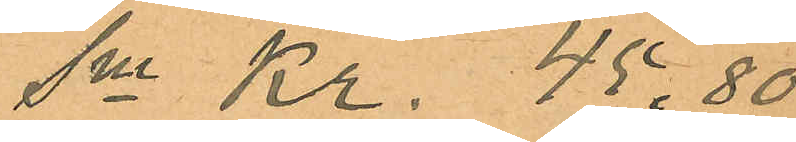Sma Kr. 45,80
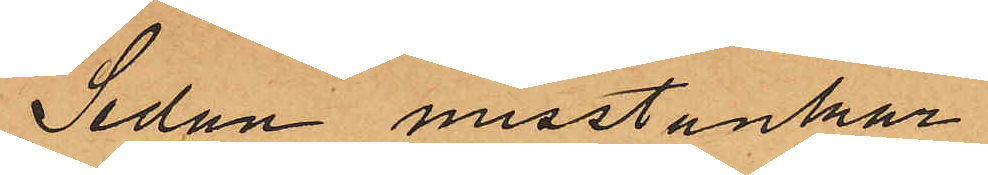Sedan misstankar
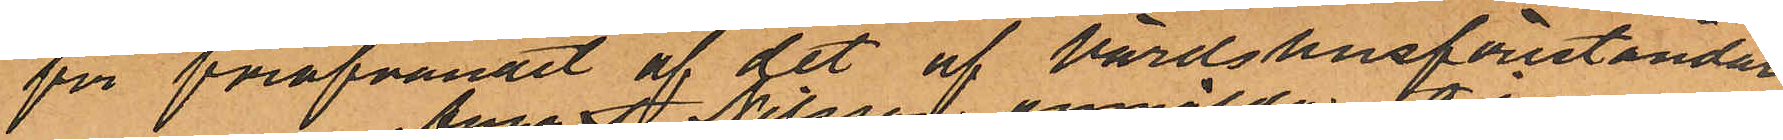för föröfvandet af det af Värdshusföreståndaren
